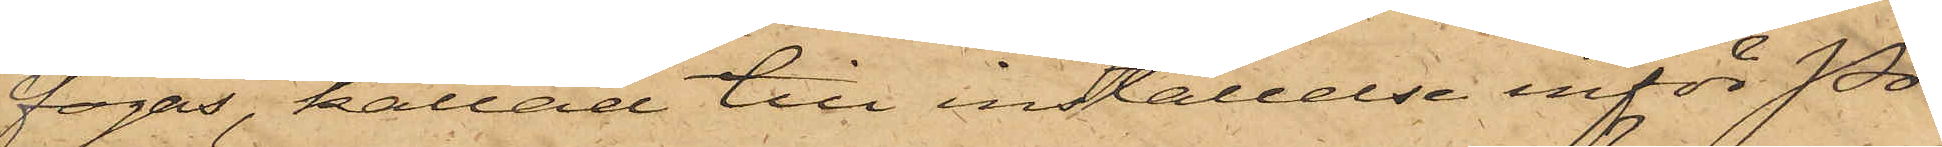fogas, kallad till inställelse inför Po¬
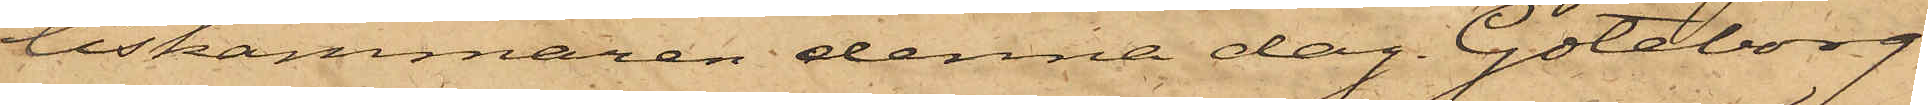liskammaren denna dag. Göteborg
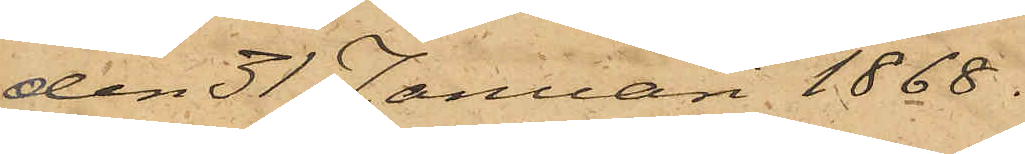den 31 Januari 1868.
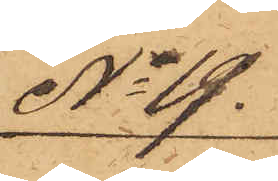No 19.
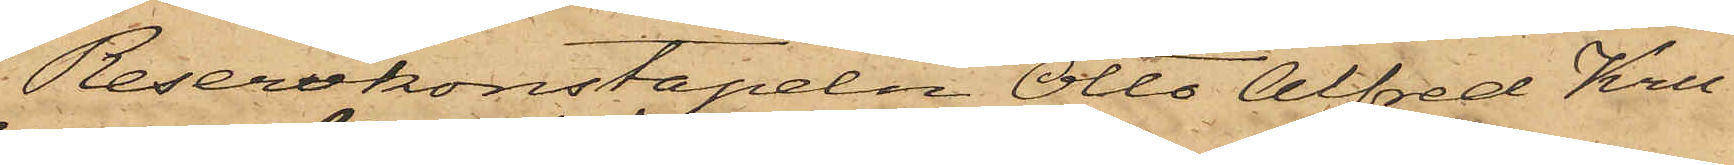Reservkonstapeln Otto Alfred Kru¬
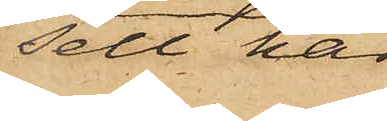sell har
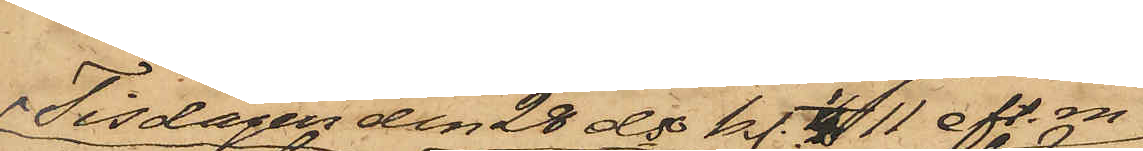Tisdagen den 28 ds kl 1/4 11 eft.m
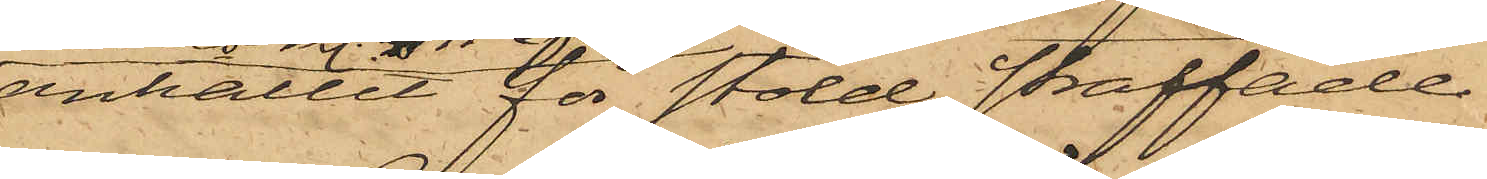anhållit för stöld straffade
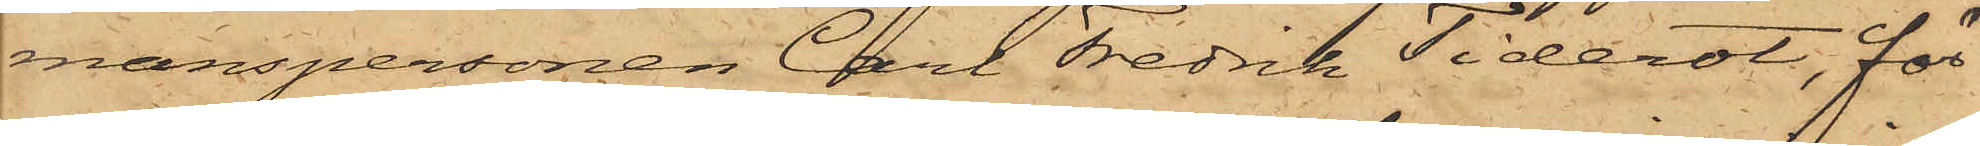manspersonen Carl Fredrik Tiderot, för
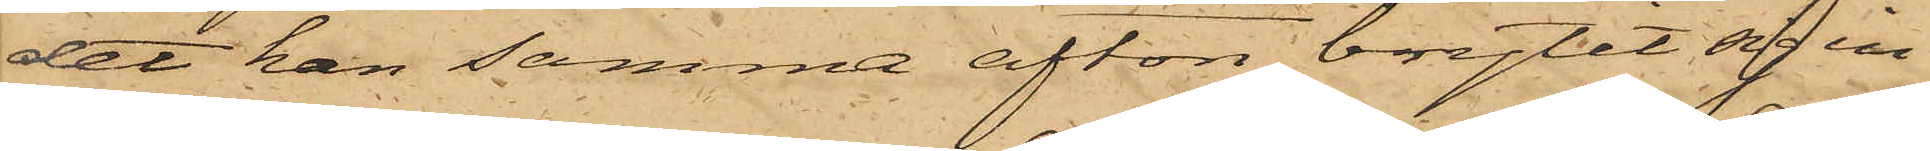det han samma afton brytit sig in
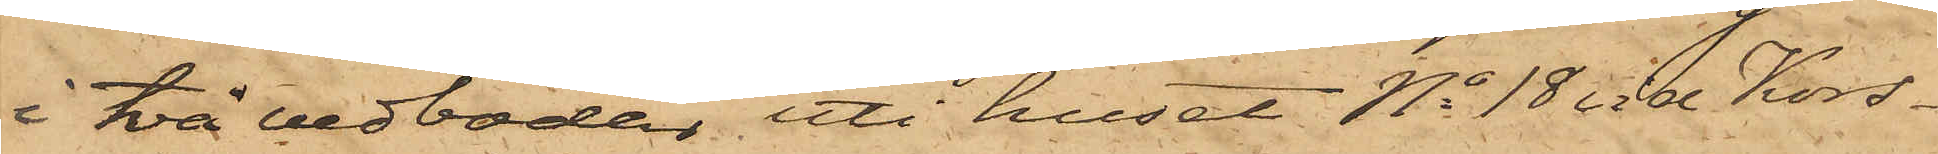i två vedbodar uti huset No 18 vid Kors¬
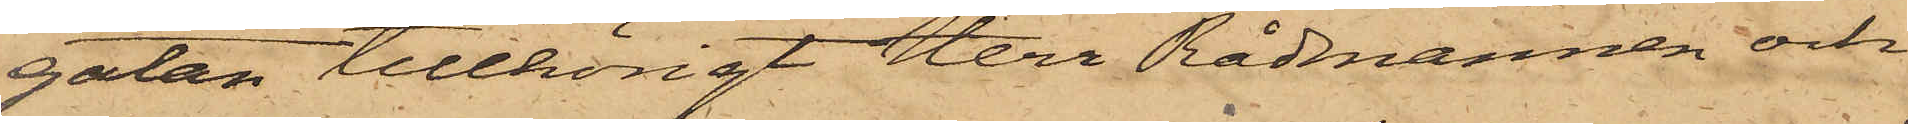gatan tillhörigt Herr Rådmannen och
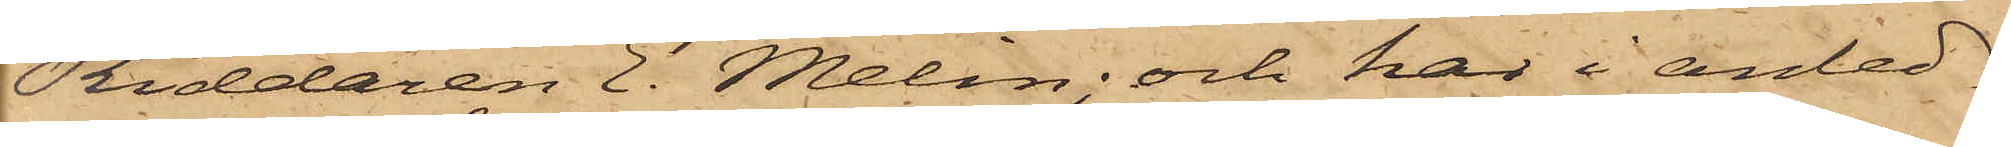Riddaren E. Melin; och har i anled¬
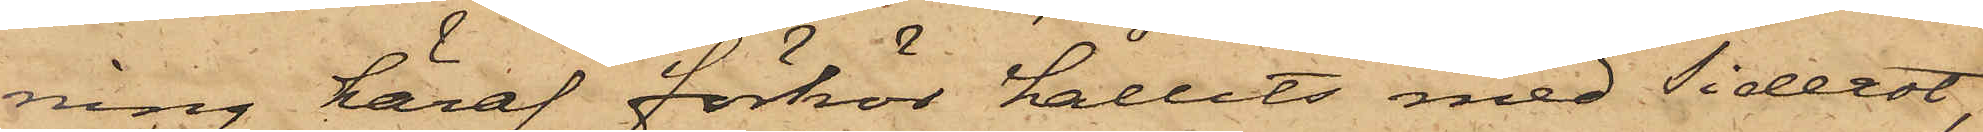ning häraf förhör hållits med Tiderot,
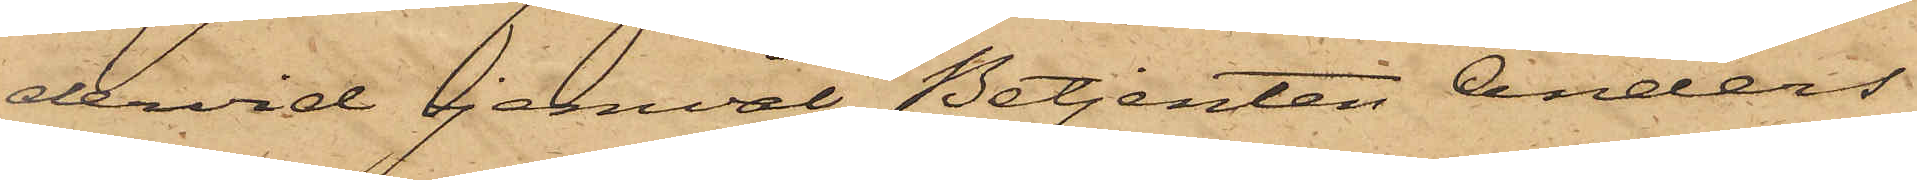dervid jemväl Betjenten Anders¬
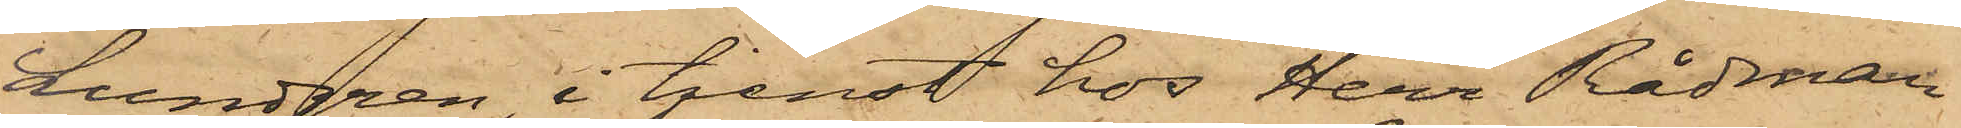Lundgren, i tjenst hos Herr Rådman
